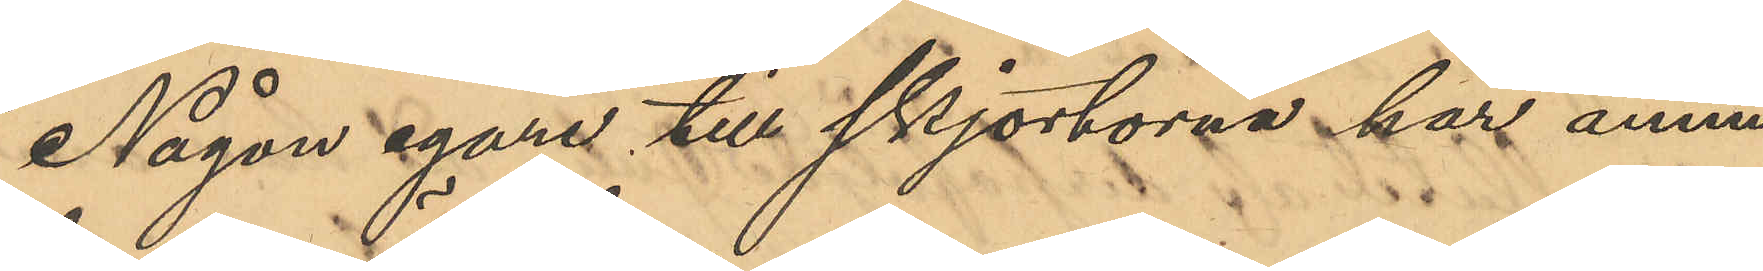Någon egare till skjortorna har ännu
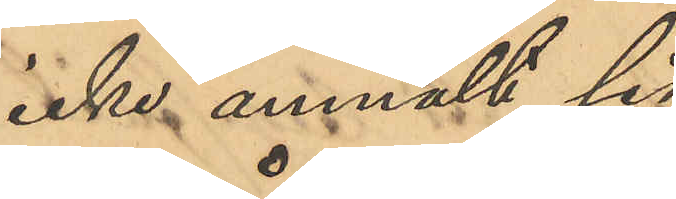icke anmält sig.
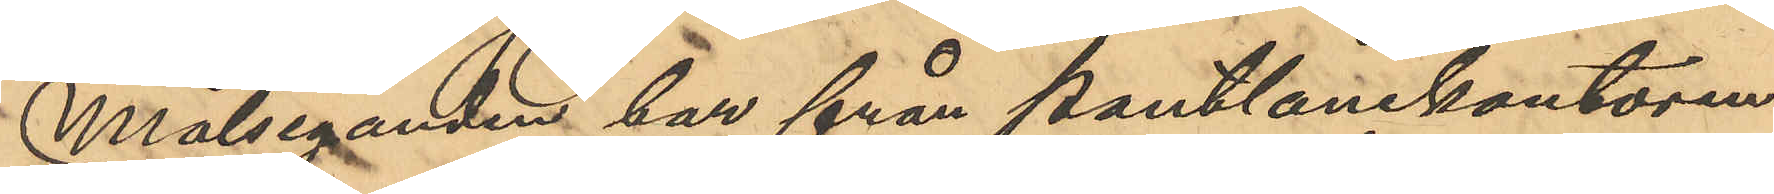Målseganden har från pantlånekontoren
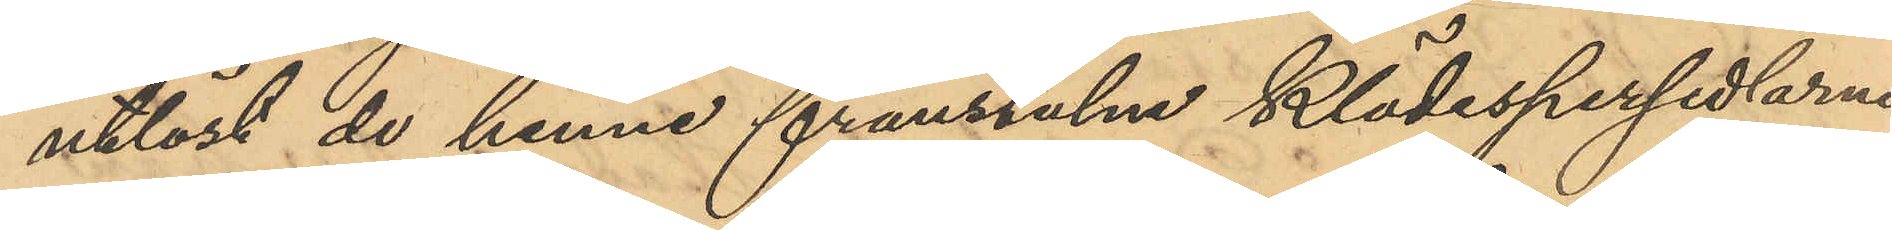utlöst de henne frånstulne Klädespersedlarne.
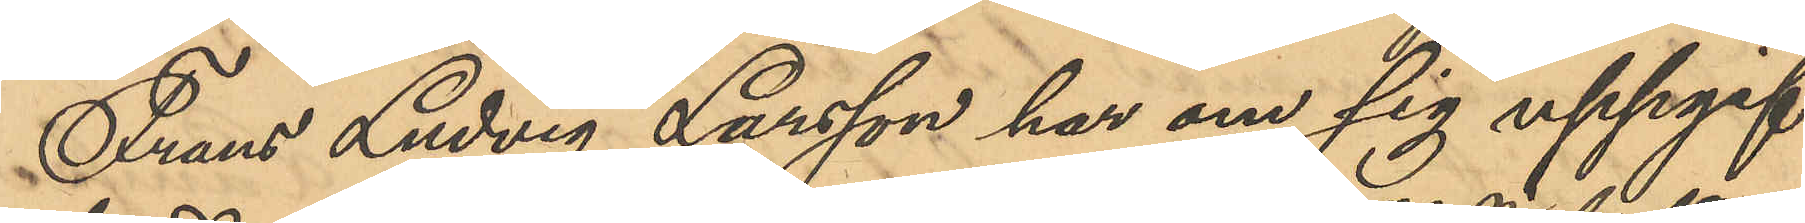Frans Ludvig Larsson har om sig uppgif¬
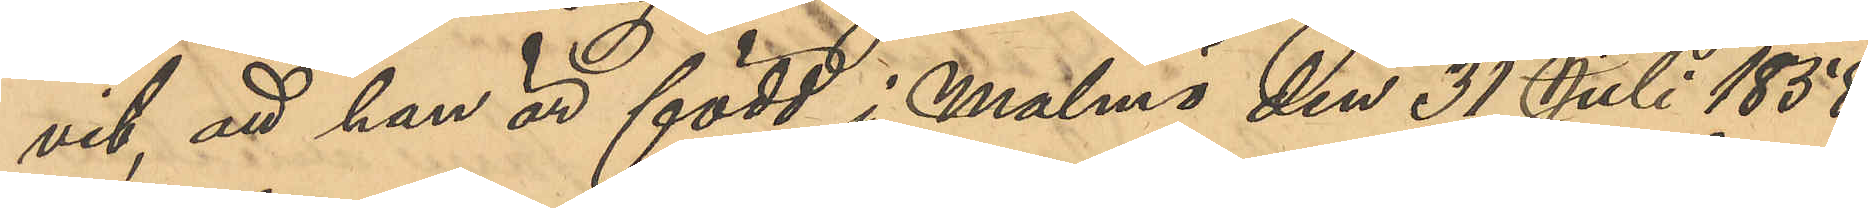vit, att han är född i Malmö den 31 Juli 1858;
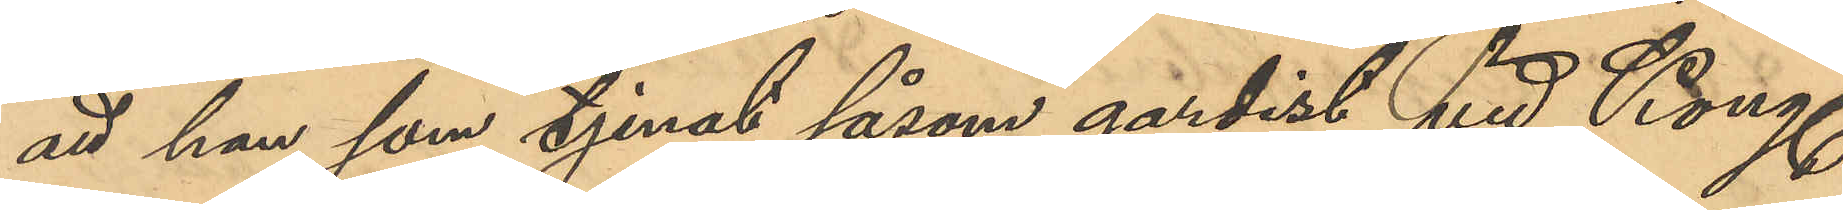att han som tjenat såsom gardist vid Kong. 
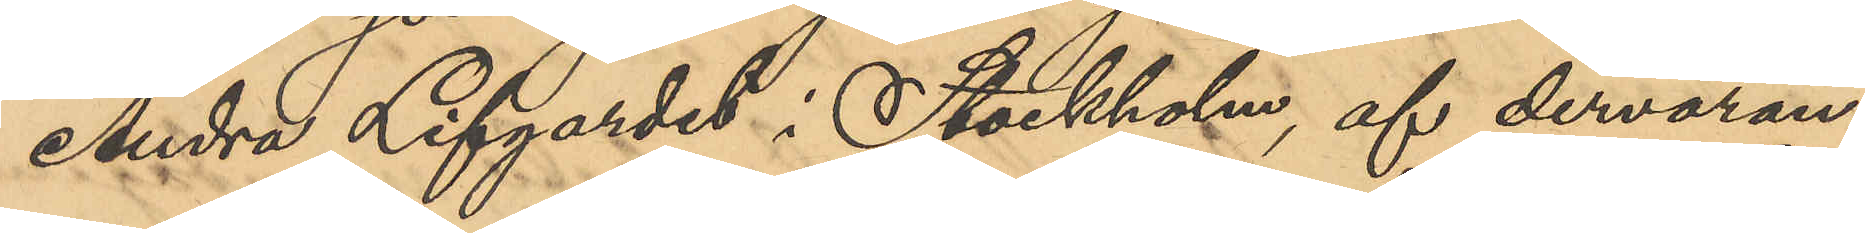Andra Lifgardet i Stockholm, af dervaran¬
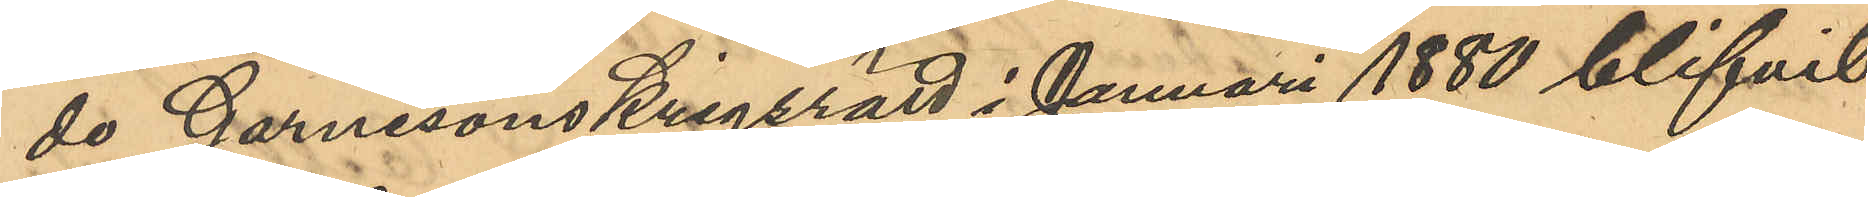de Garnisonskrigsrätt i Januari 1880 blifvit
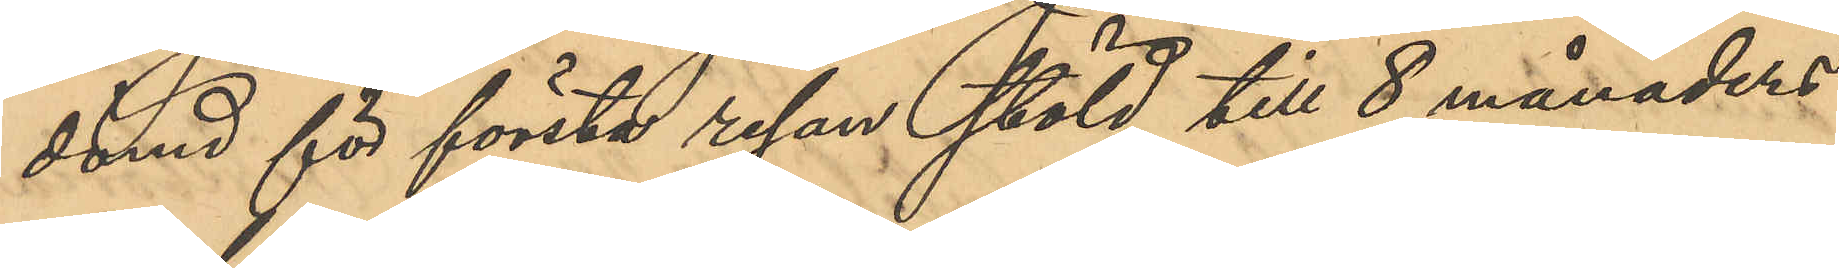dömd för första resan stöld till 8 månaders
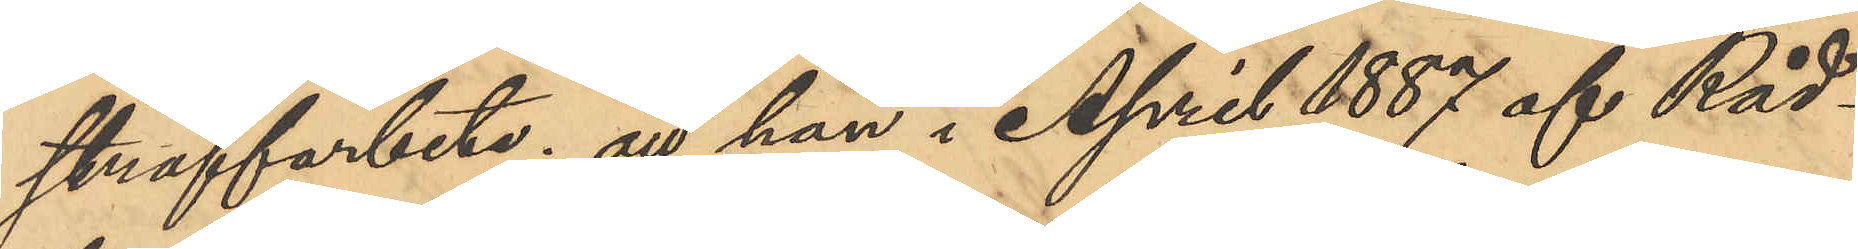straffarbete; att han i April 1887 af Råd¬
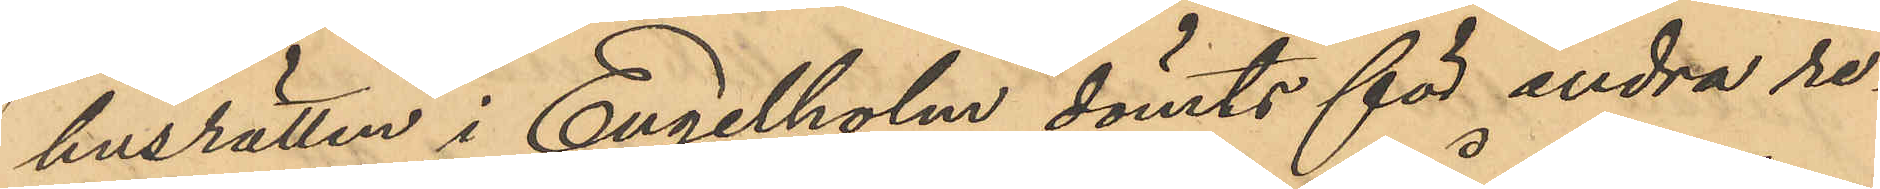husrätten i Engelholm dömts för andra re¬
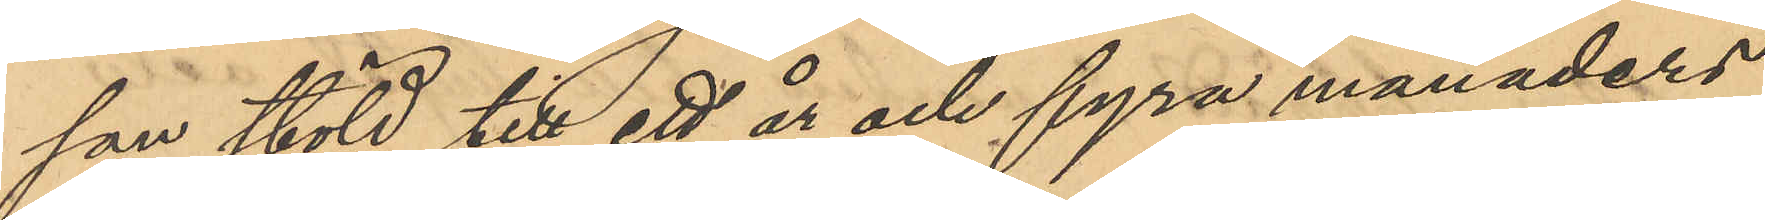san stöld till ett år och fyra månaders
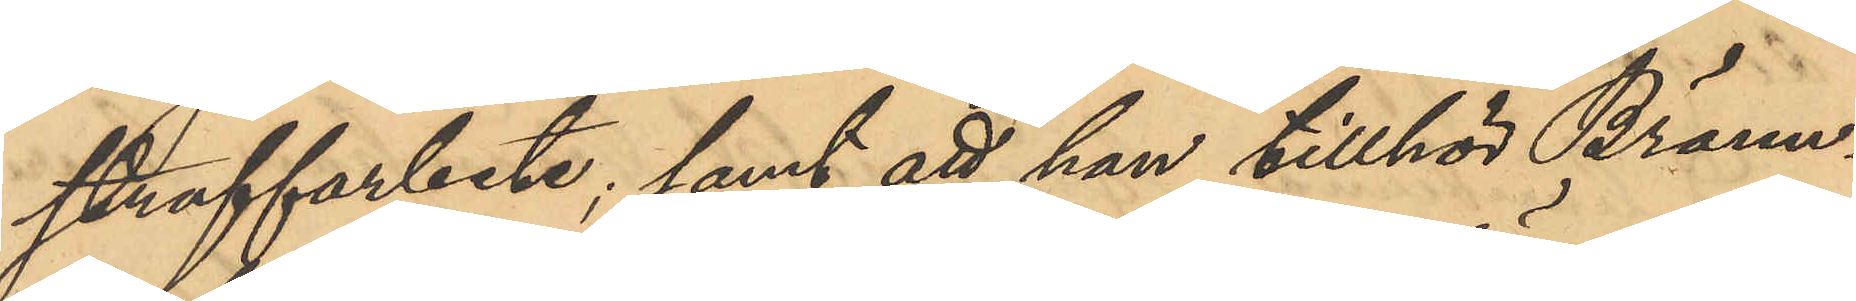straffarbete; samt att han tillhör Bränn¬
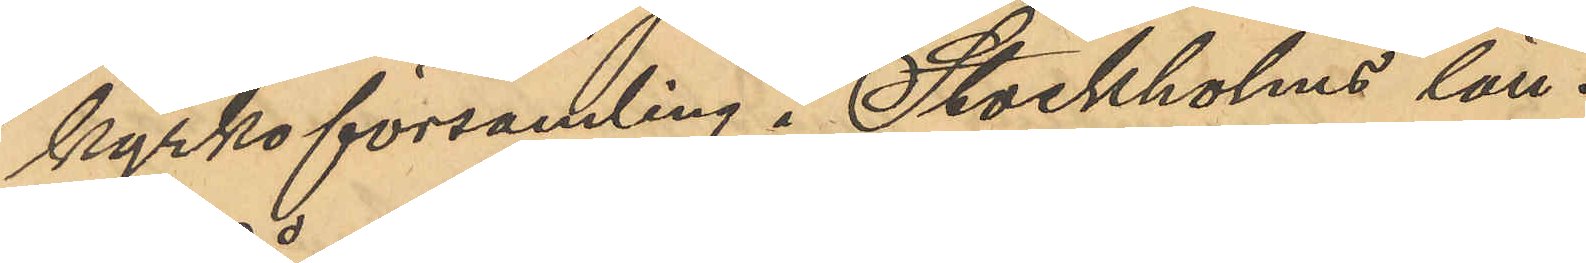kyrkoförsamling i Stockholms län.
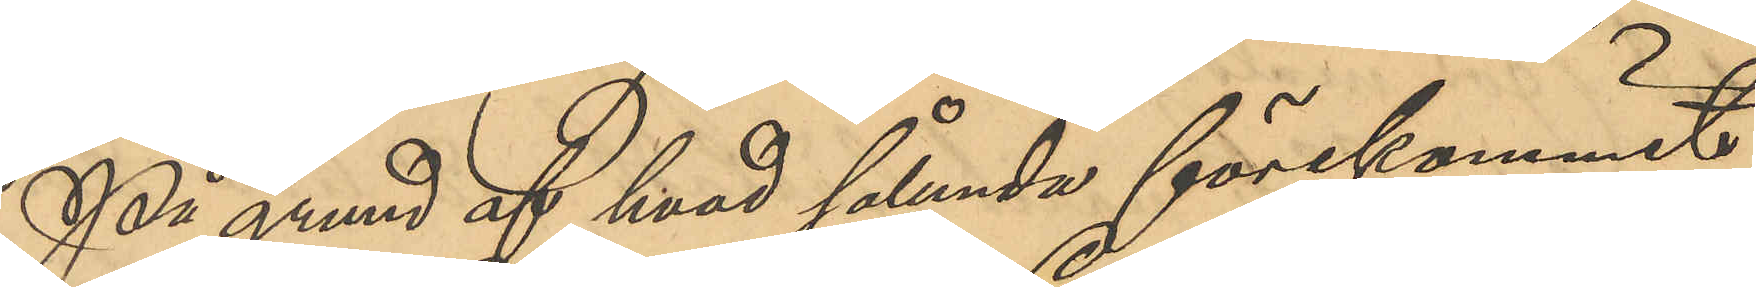På grund af hvad sålunda förekommit,
